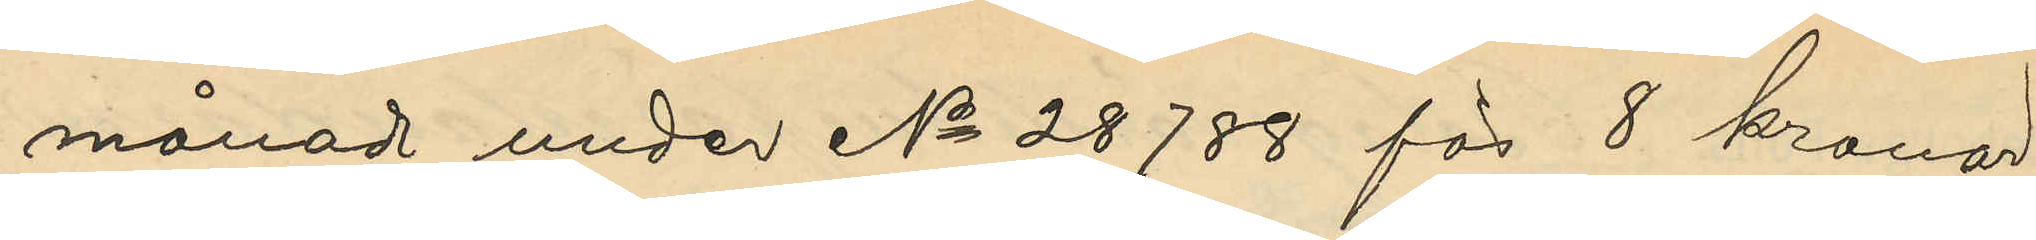månad under No 28788 för 8 kronor
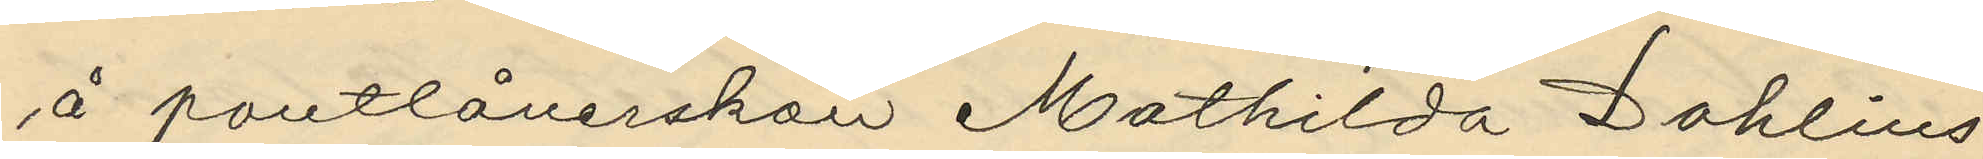å pantlånerskan Mathilda Dahlins
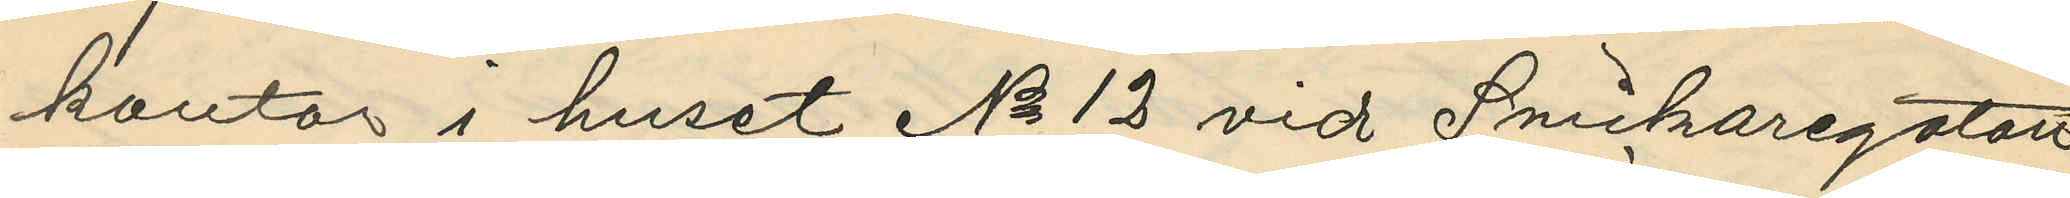kontor i huset No 12 vid Snickaregatan
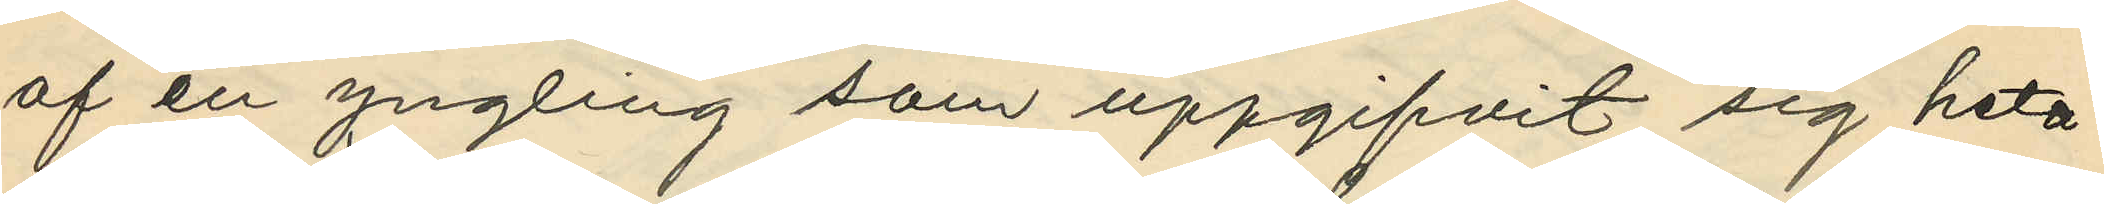af en yngling som uppgifvit sig heta
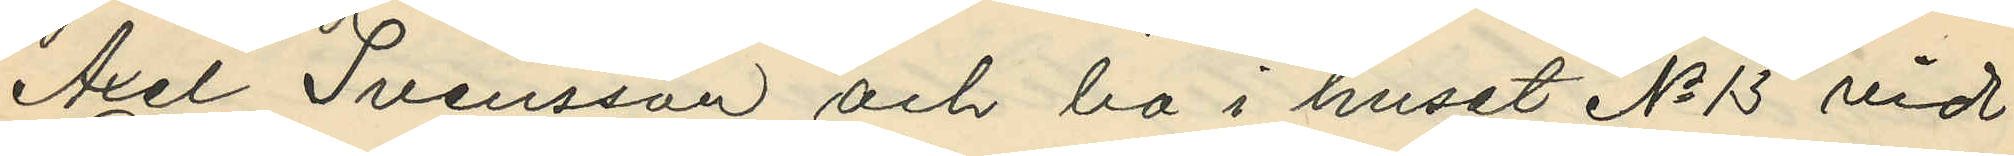Axel Svensson och bo i huset No 13 vid
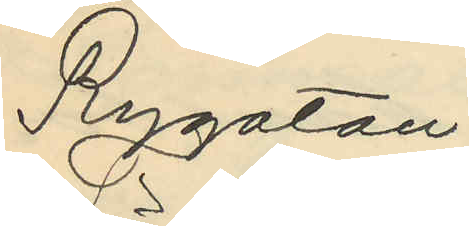Rygatan.
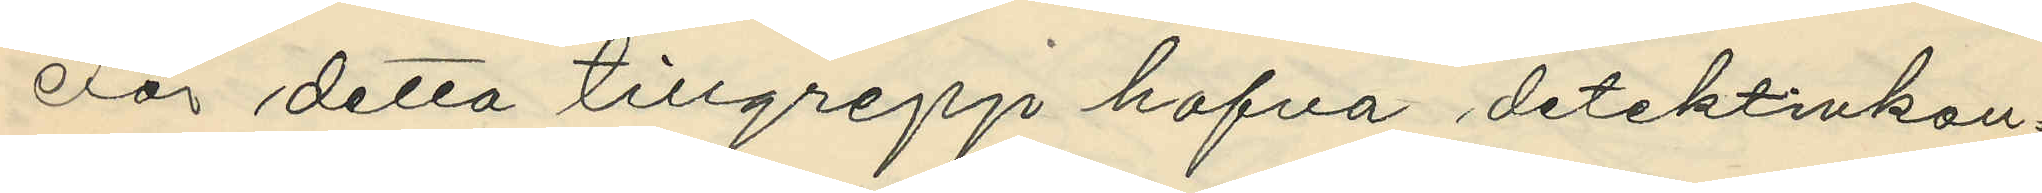För detta tillgrepp hafva detektivkon¬
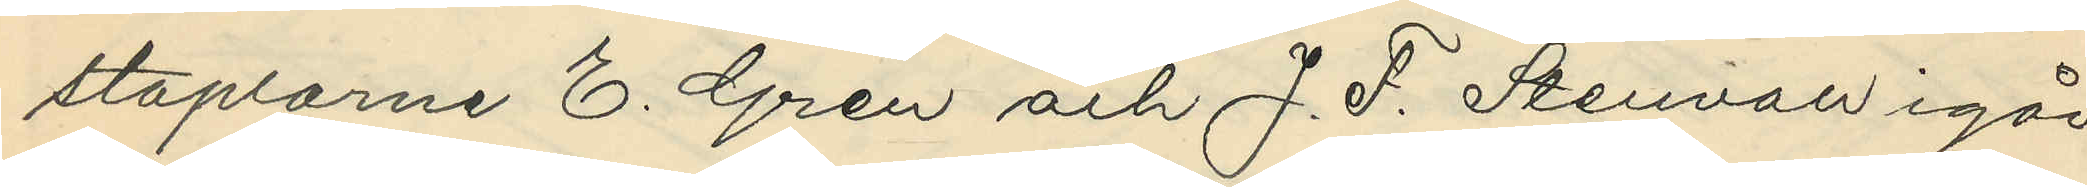staplarne E. Gren och J. F. Stenvall igår
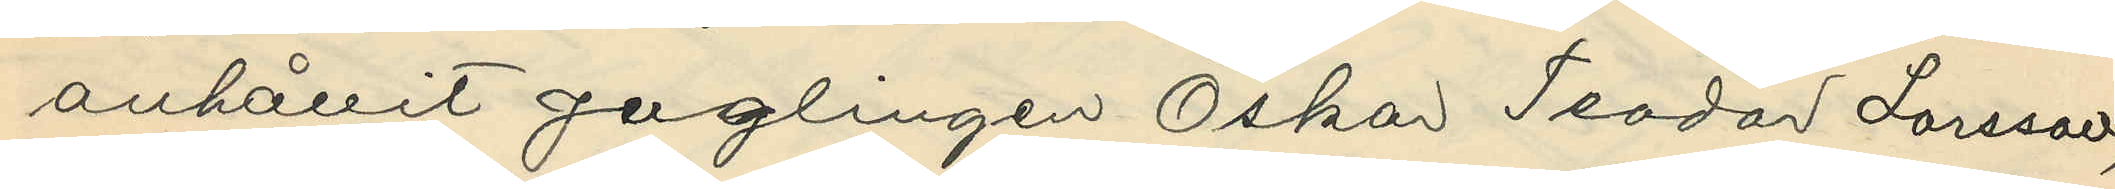anhållit ynglingen Oskar Teodor Larsson,
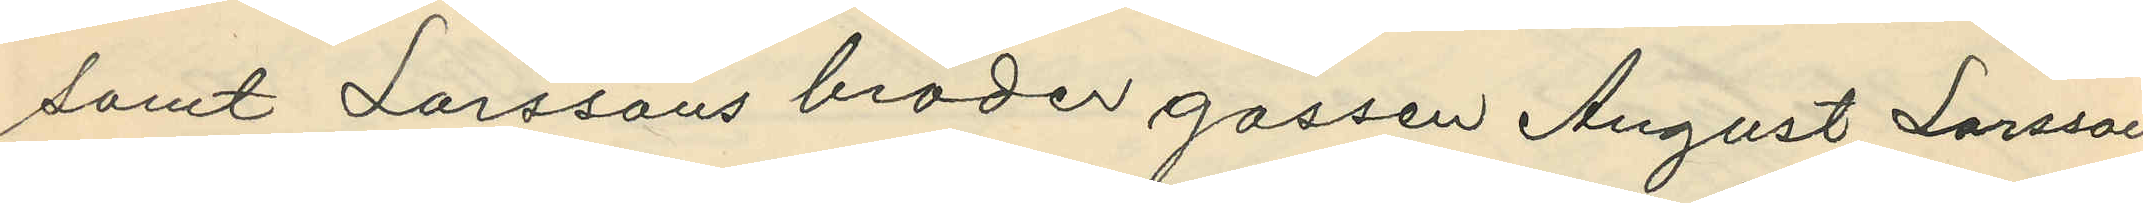samt Larssons broder gossen August Larsson
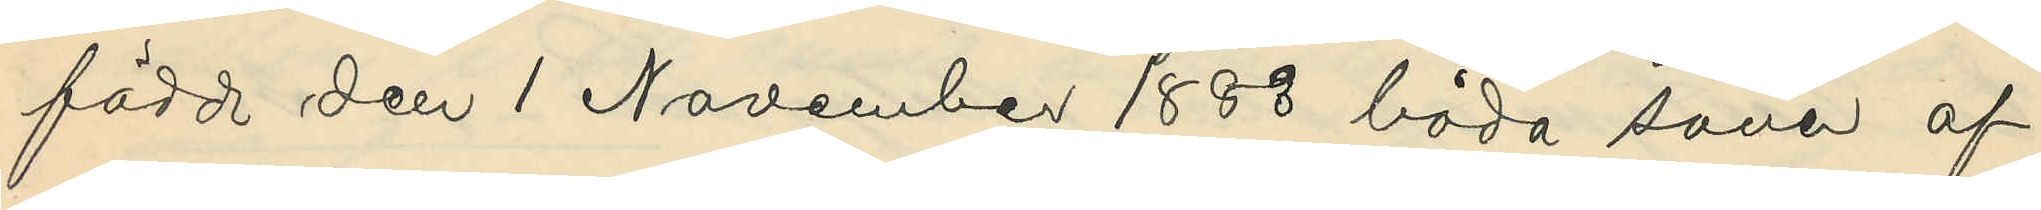född den 1 November 1883 båda söner af
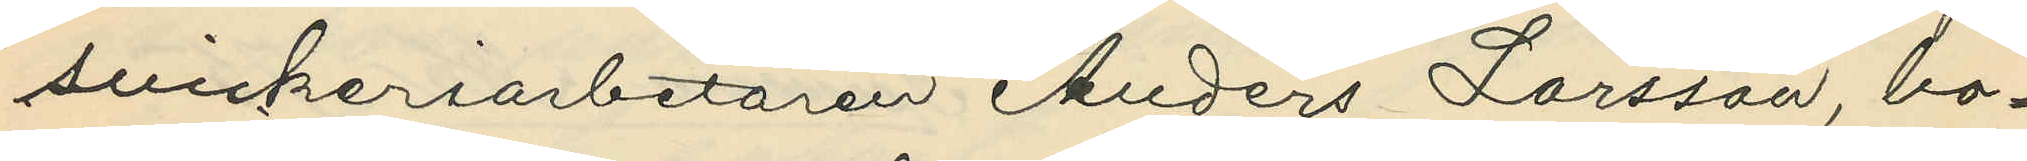snickeriarbetaren Anders Larsson, bo¬
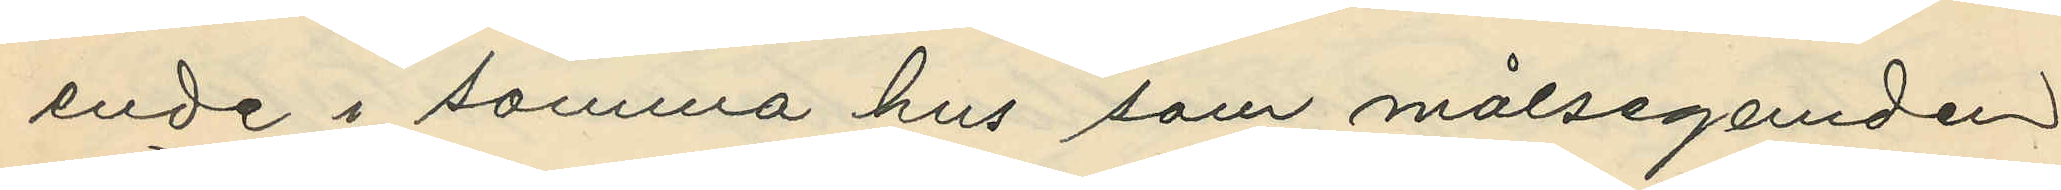ende i samma hus som målseganden
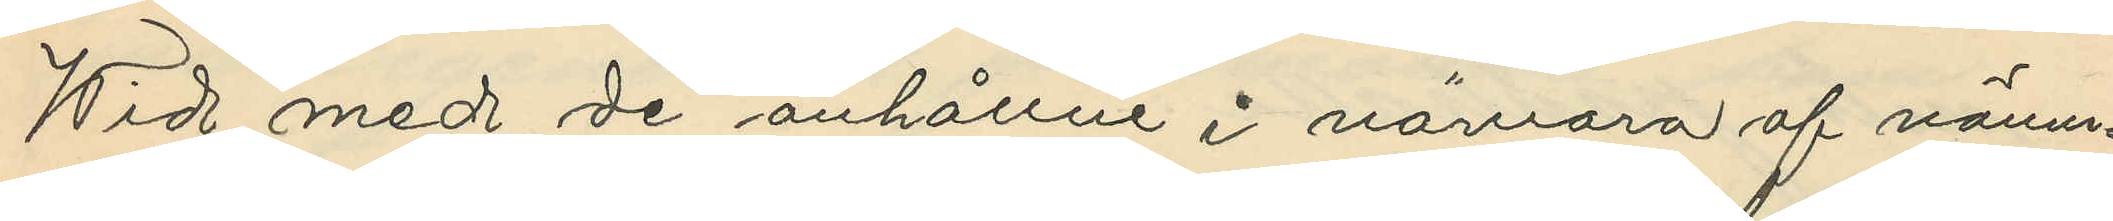Wid med de anhållne i närvaro af nämn¬
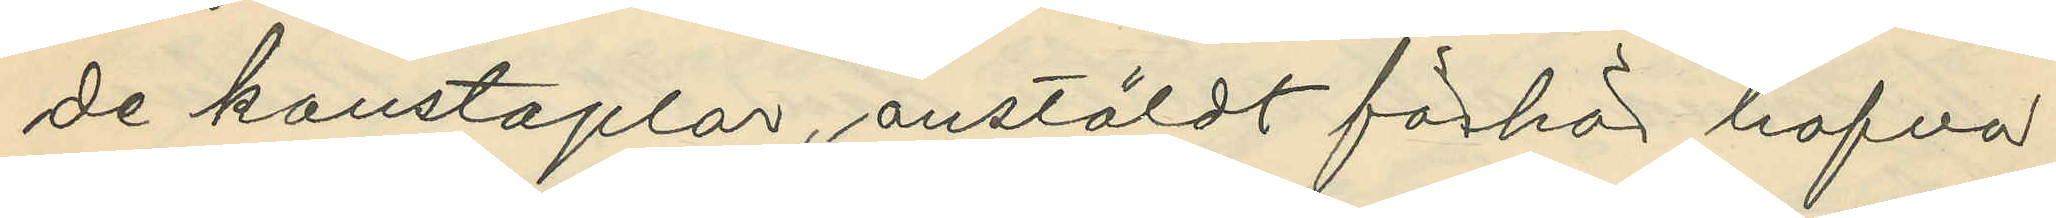de konstaplar, anstäldt förhör hafva
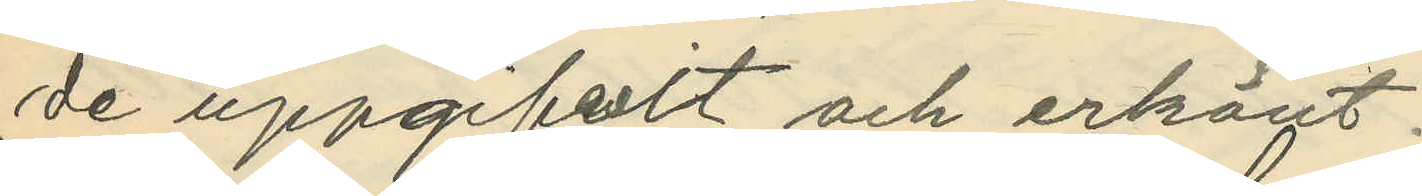de uppgifvit och erkänt.
